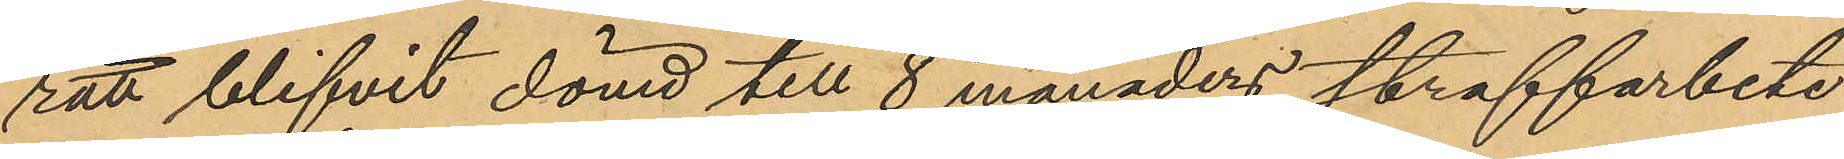rätt blifvit dömd till 8 månaders straffarbete
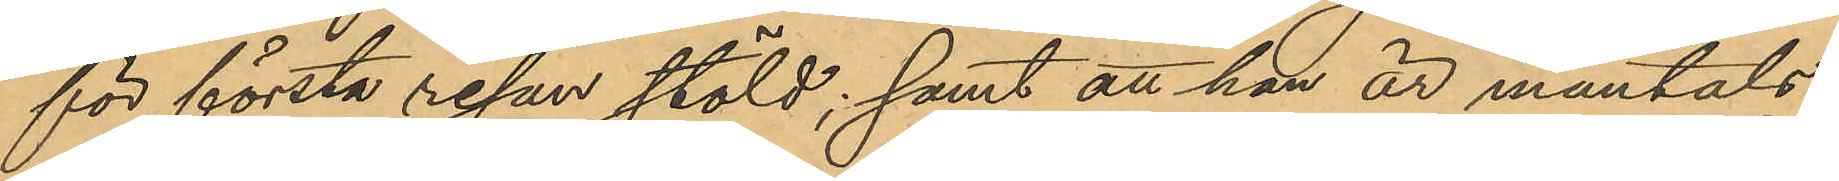för första resan stöld; samt att han är mantals¬
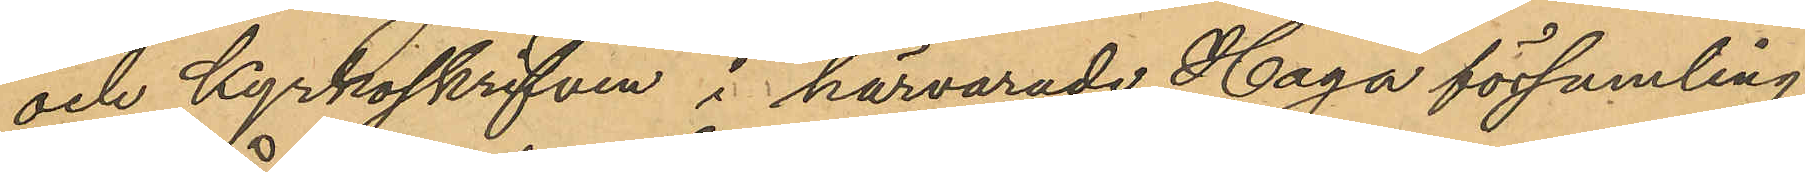och kyrkoskrifven i härvarade Haga församling.
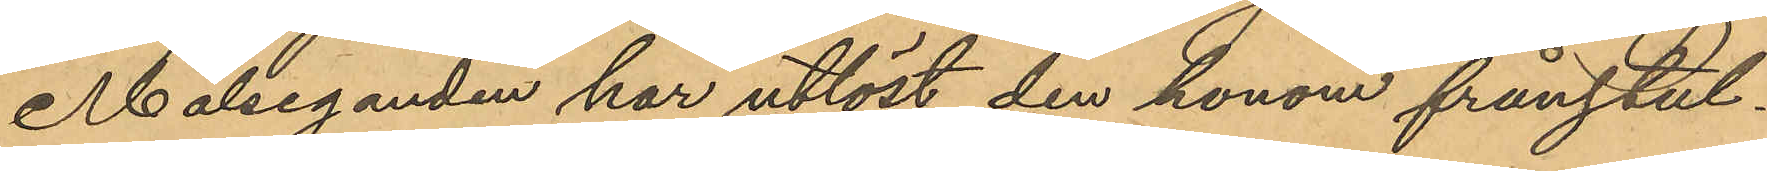Målseganden har utlöst den honom frånstul¬
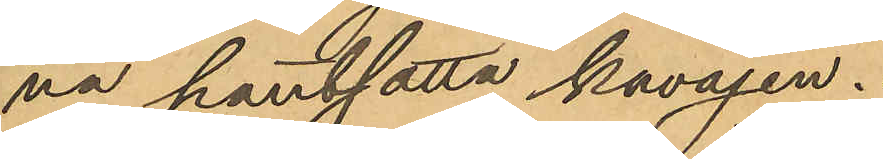na pantsatta kavajen.
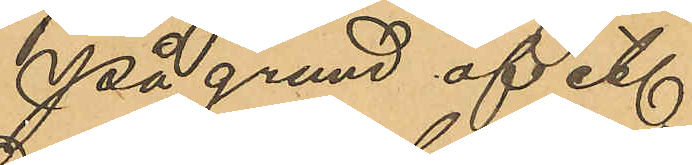På grund af etc
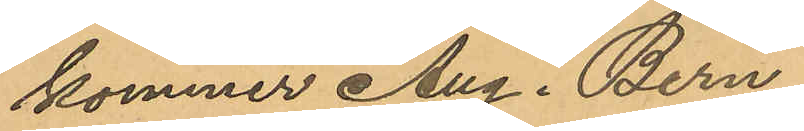kommer Aug. Bern¬
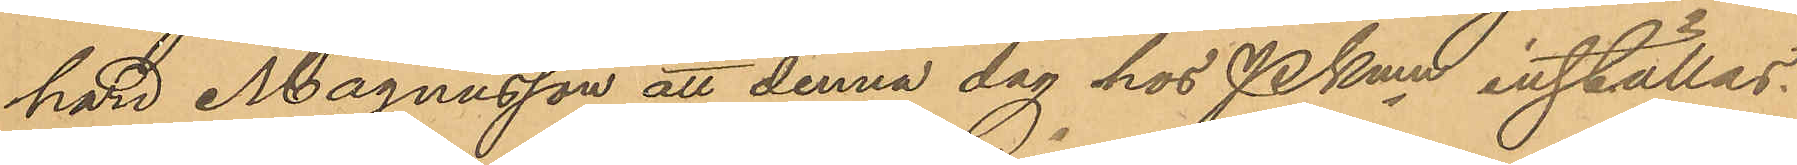hard Magnusson att denna dag hos Pkmn inställas.
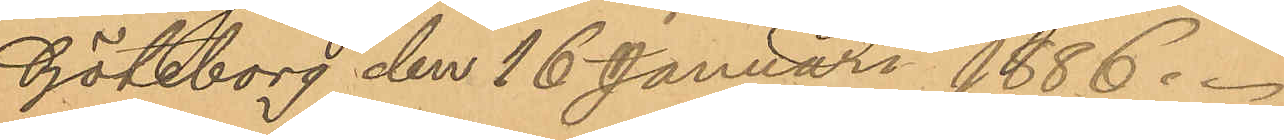Göteborg den 16 Januari 1886.
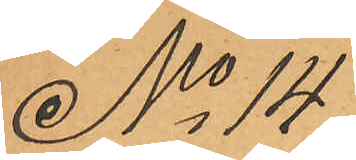No 14
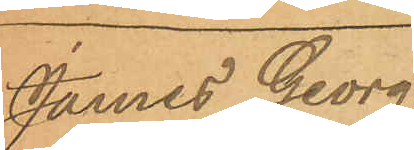James Georg
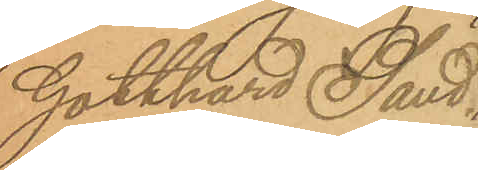Gotthard Sand¬
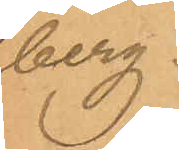berg.
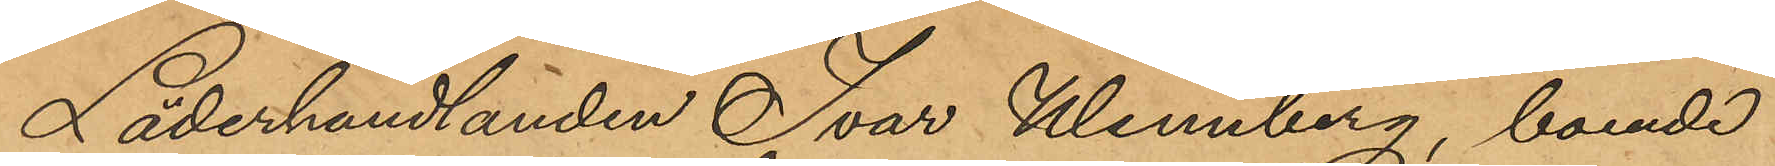Läderhandlanden Ivar Wennberg, boende
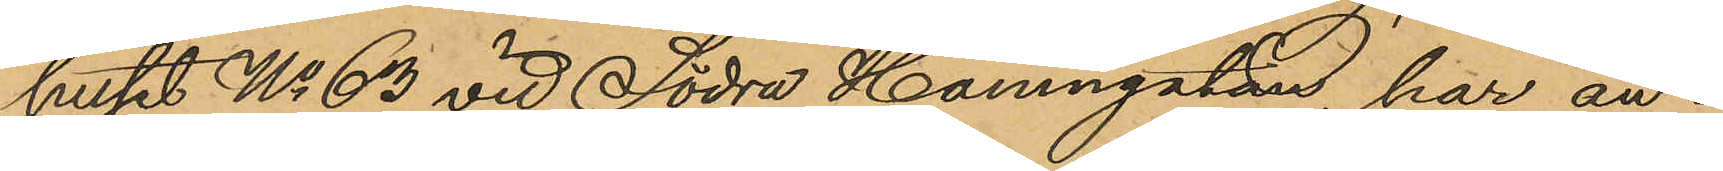huset No 63 vid Södra Hamngatan har an¬
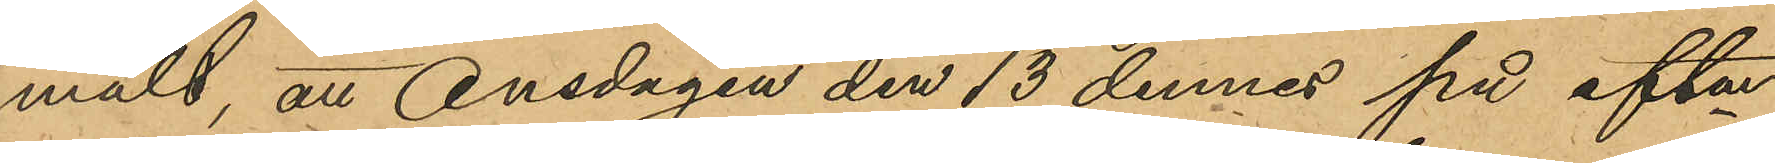mält att Onsdagen den 13 dennes på aftonen
